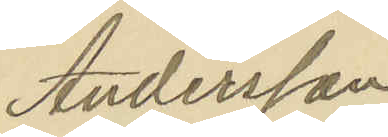Andersson
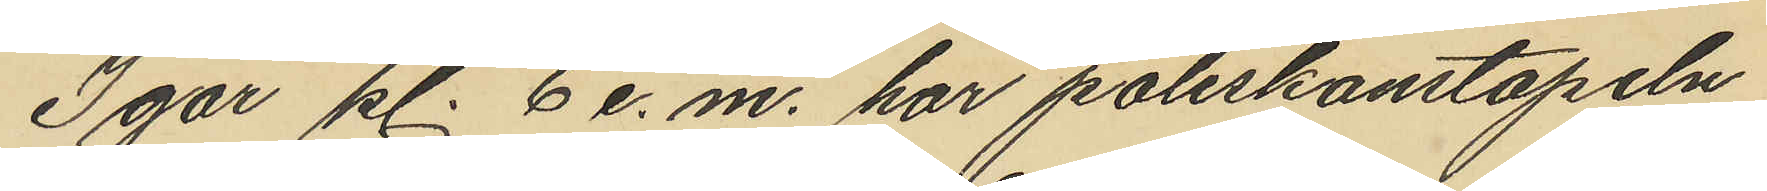Igår kl. 6 e.m. har poliskonstapeln
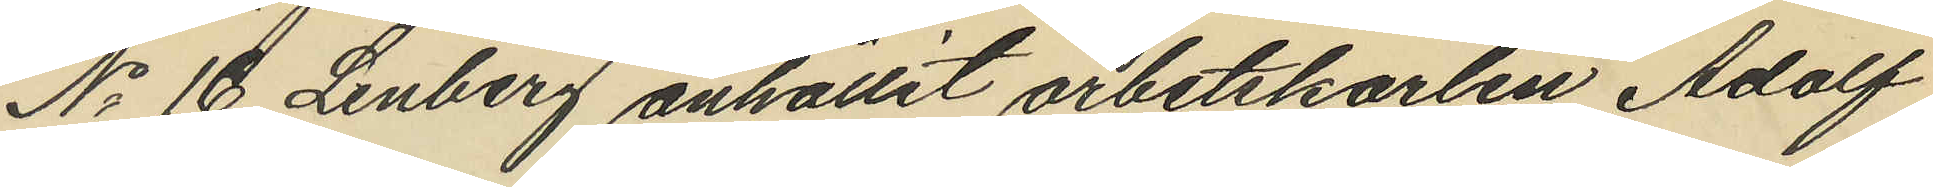No 16 Lenberg anhållit arbetskarlen Adolf
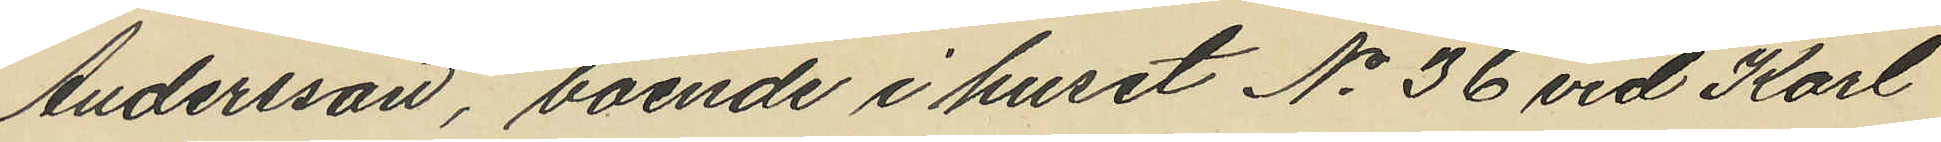Andersson, boende i huset No 36 vid Karl
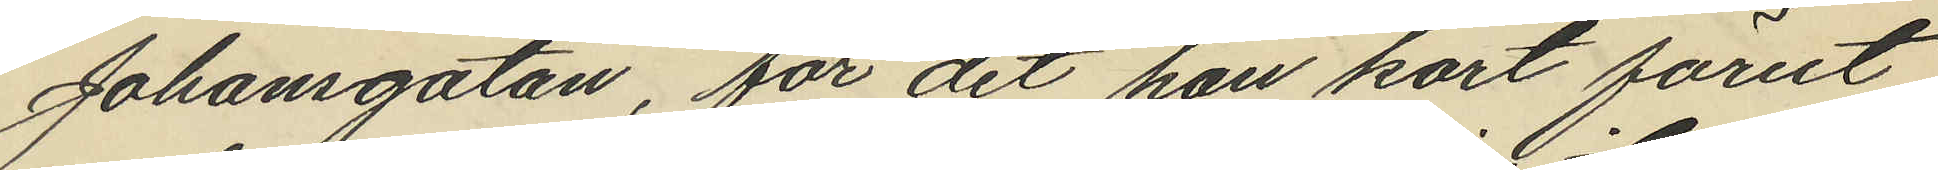Johansgatan, för det han kort förut
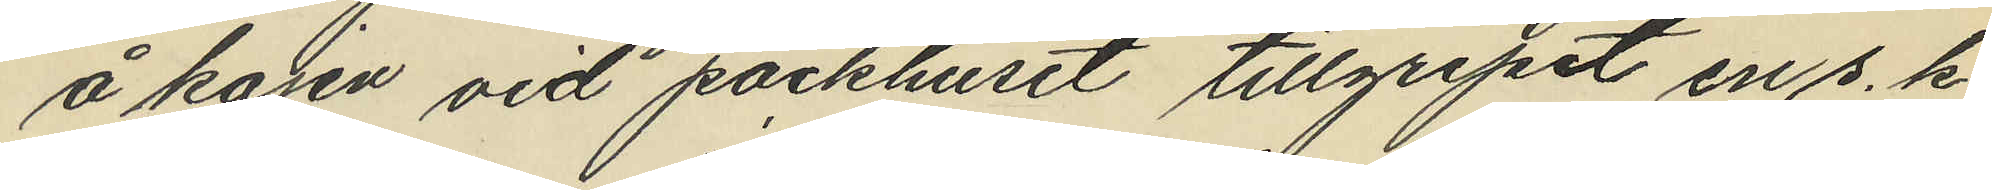å kajen vid packhuset tillgripit en s. k.
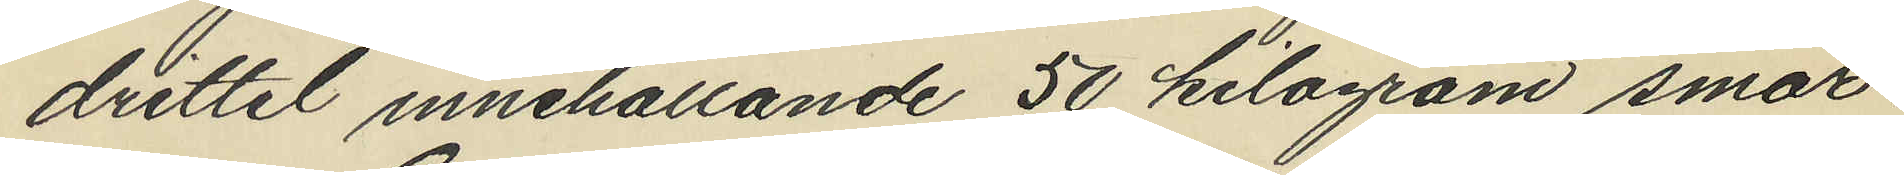drittel innehållande 50 kilogram smör.
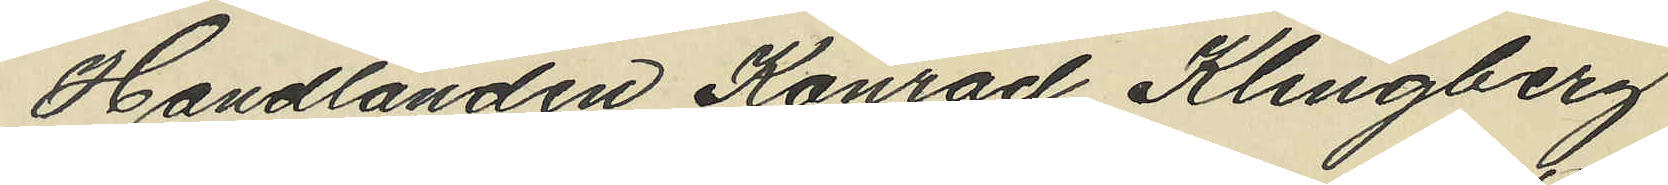Handlanden Konrad Klingberg
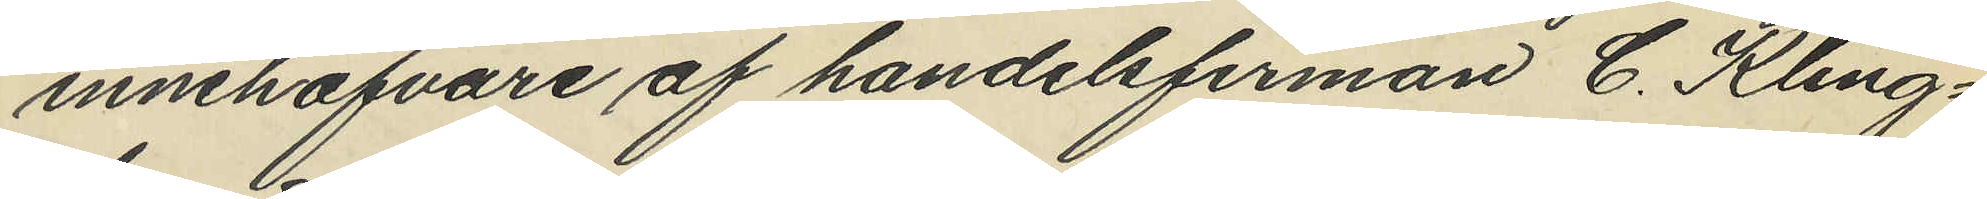innehafvare af handelsfirman C. Kling¬
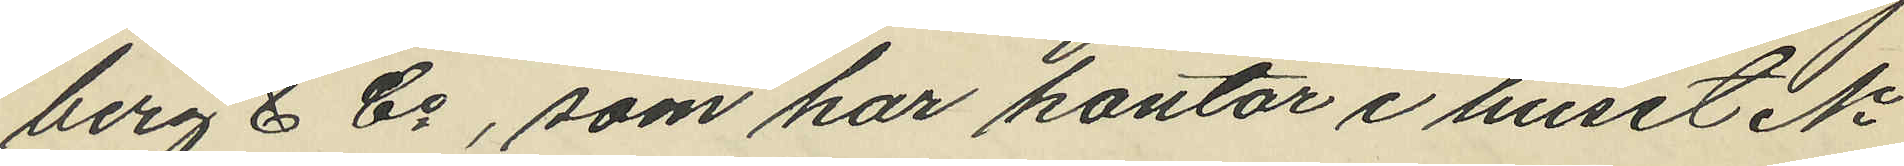berg & Co, som har kontor i huset No
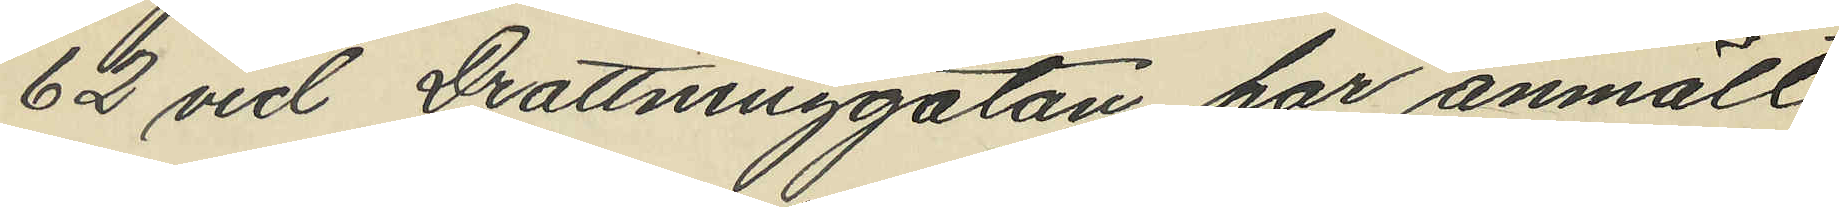62 vid Drottninggatan, har anmält
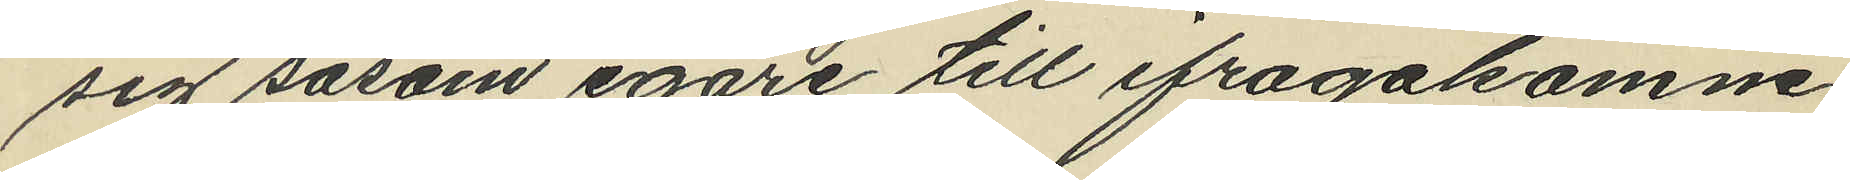sig såsom egare till ifrågakomne
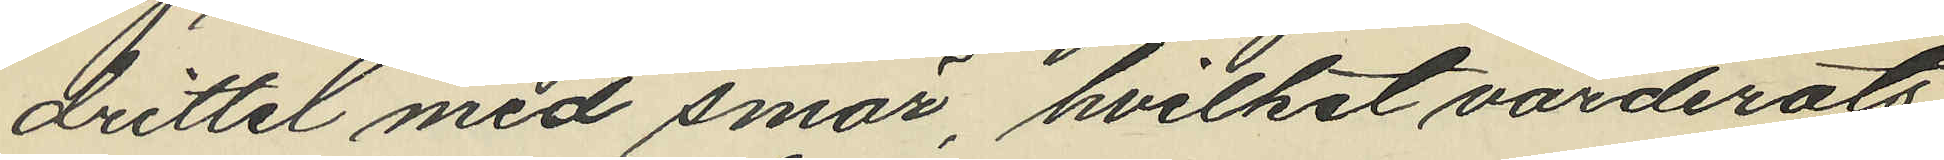drittel med smör, hvilket värderats
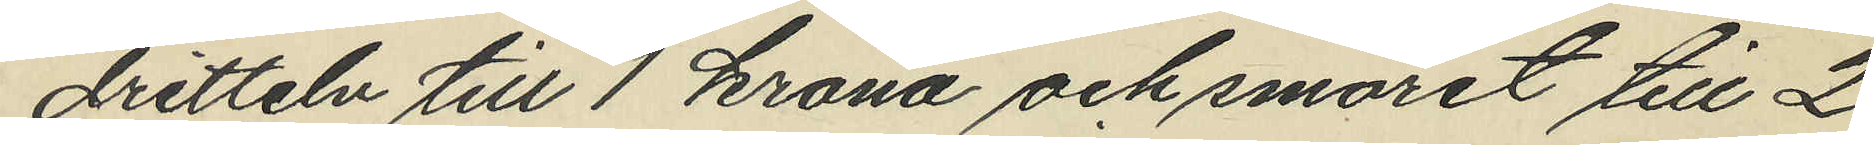dritteln till 1 krona och smöret till 2
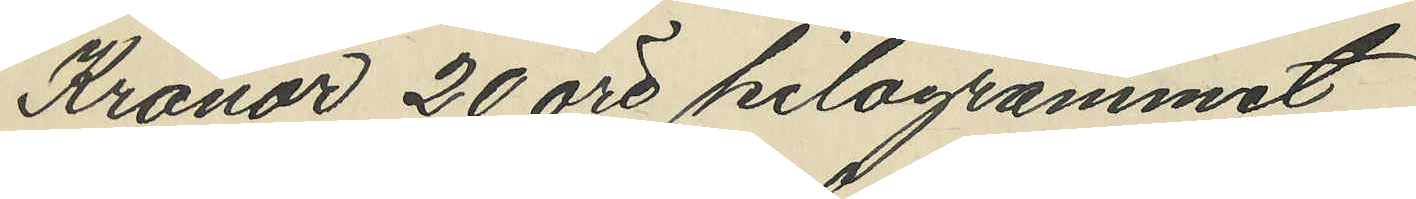Kronor 20 öre kilogrammet.
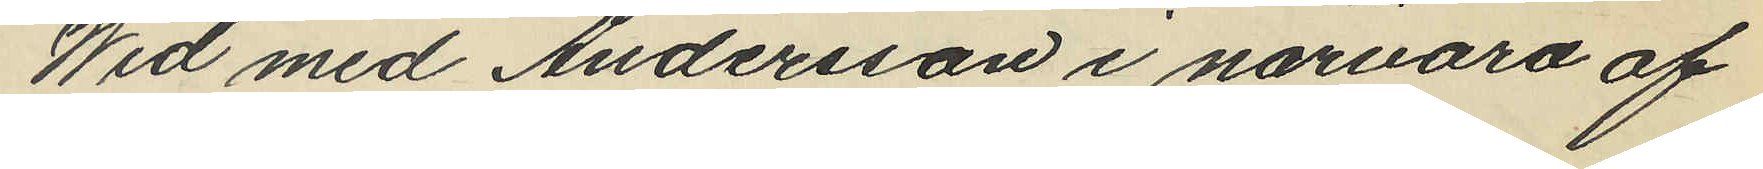Wid med Andersson i närvaro af
